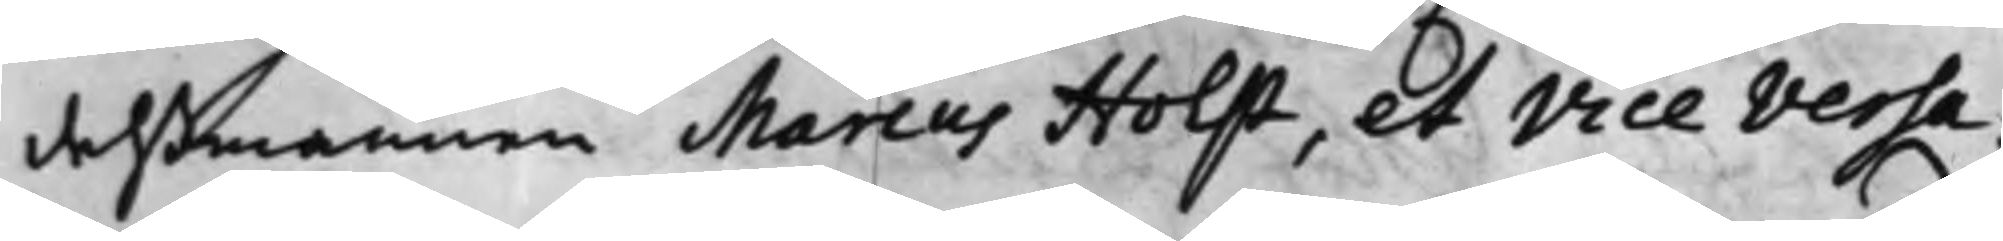delßmannen Marcus Holst, et Vice Versa.
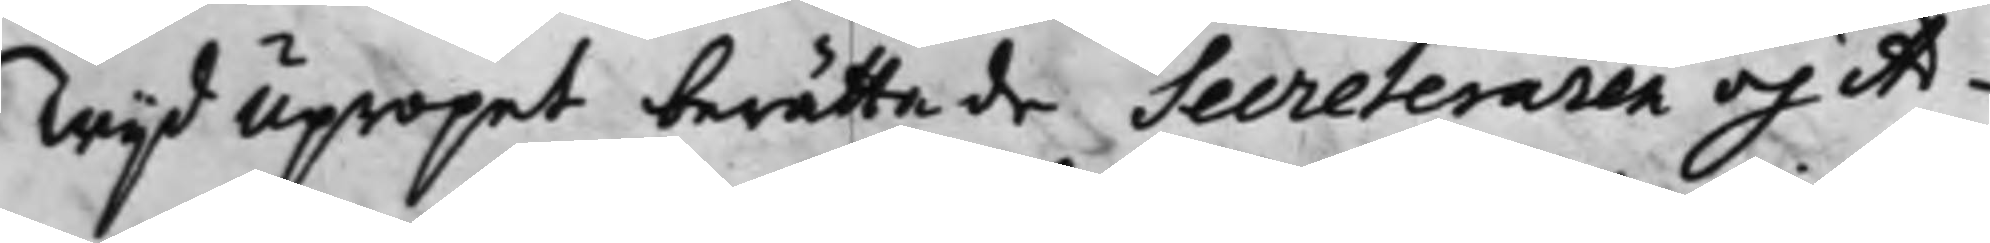Wijd Upropet berättade Secreteraren och Ad¬
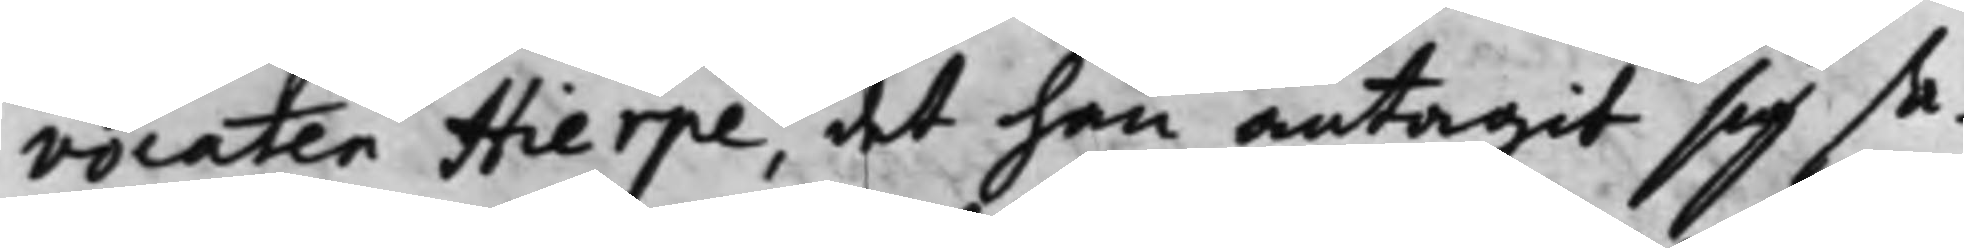vocaten Hierpe, det han antagit sig sa¬
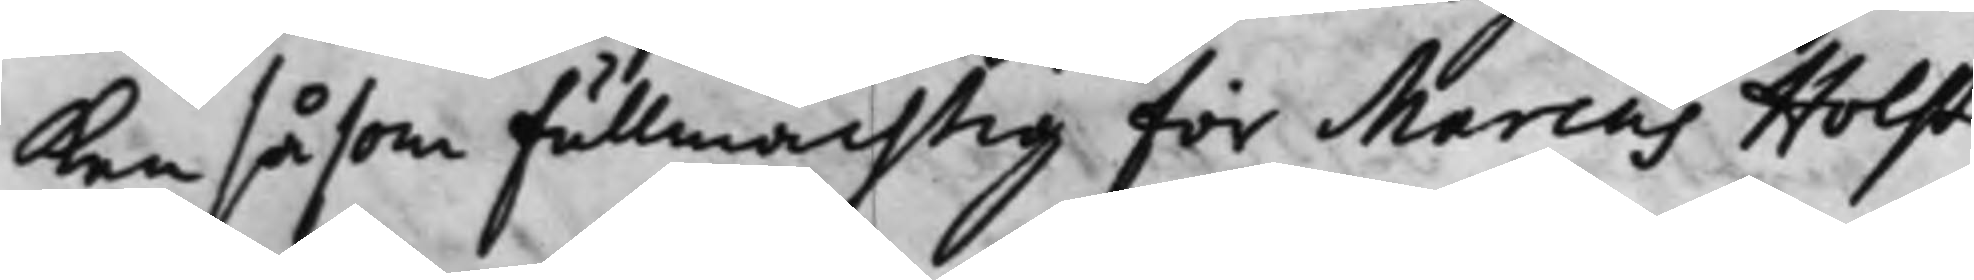Ken såsom Fullmächtig för Marcus Holst
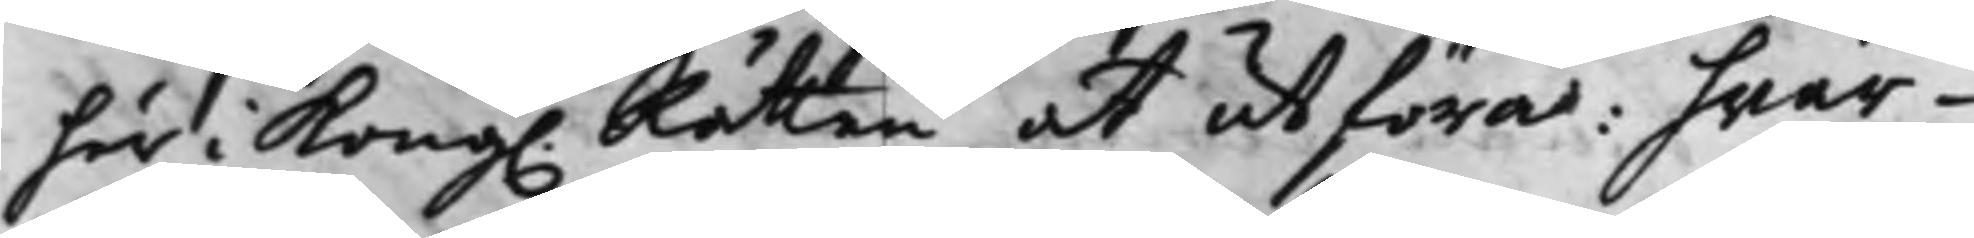här i Kong. Rätten at utföra: hwar¬
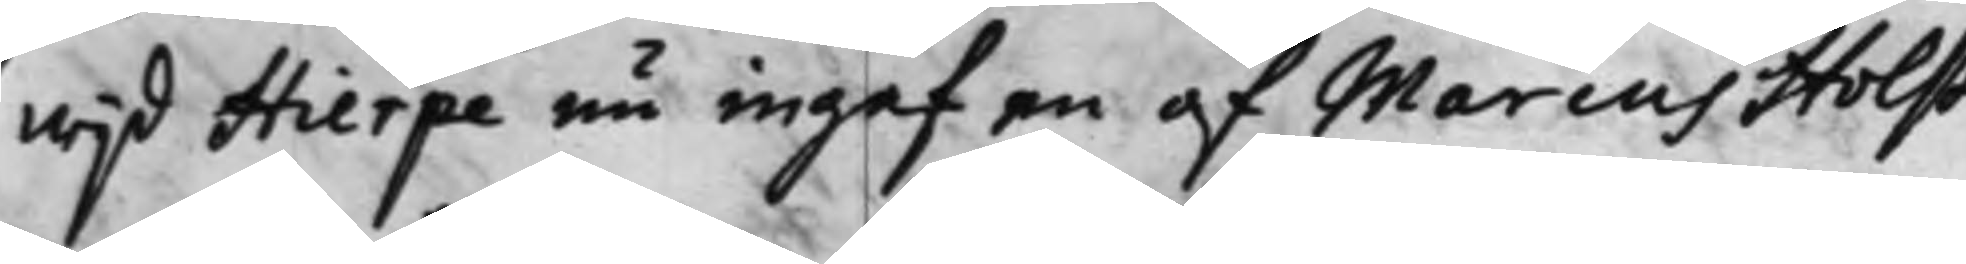wijd Hierpe nu ingaf en af Marcus Holst
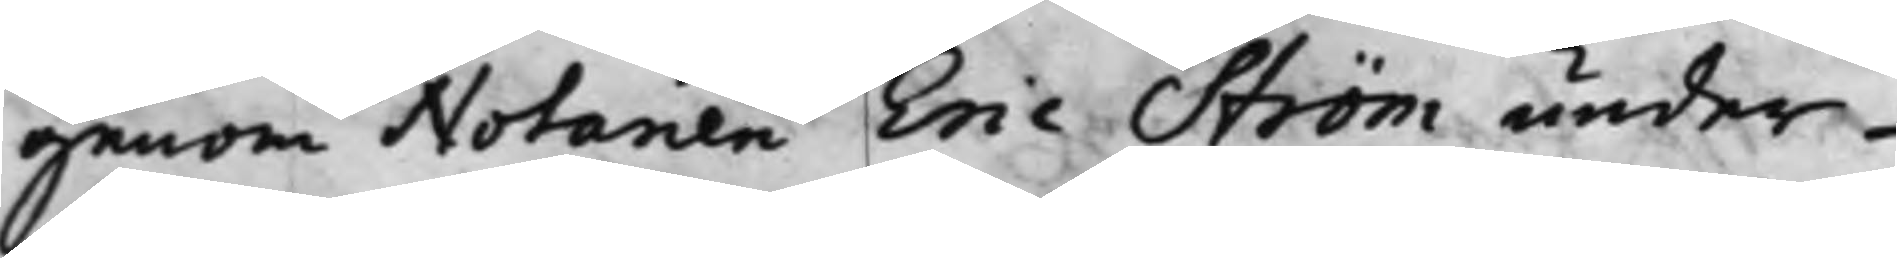genom Notarien Eric Ström under¬
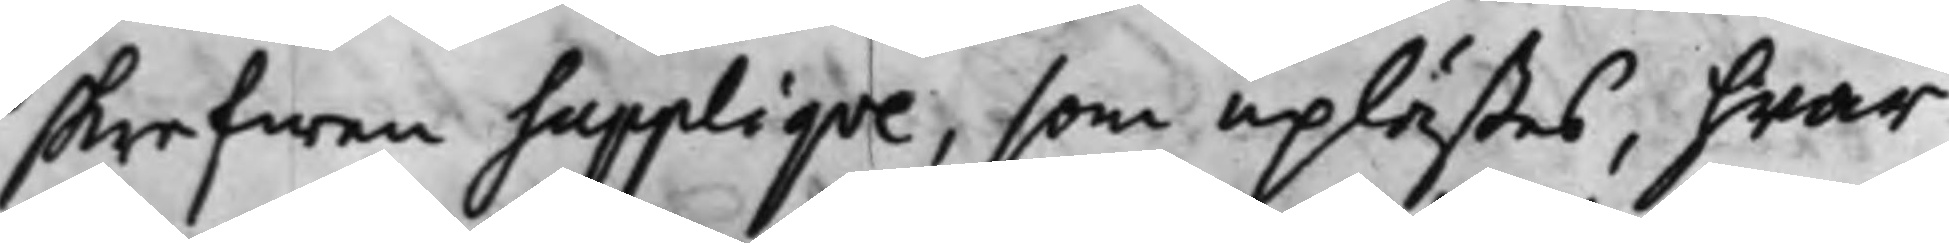skrefwen Suppliqve, som uplästes, hwar¬
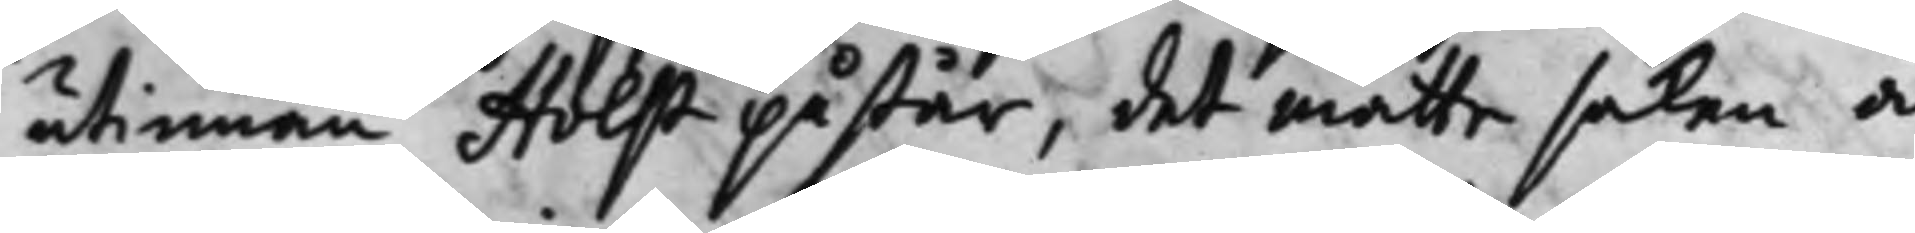utinnan Holst påstår, det måtte saken å
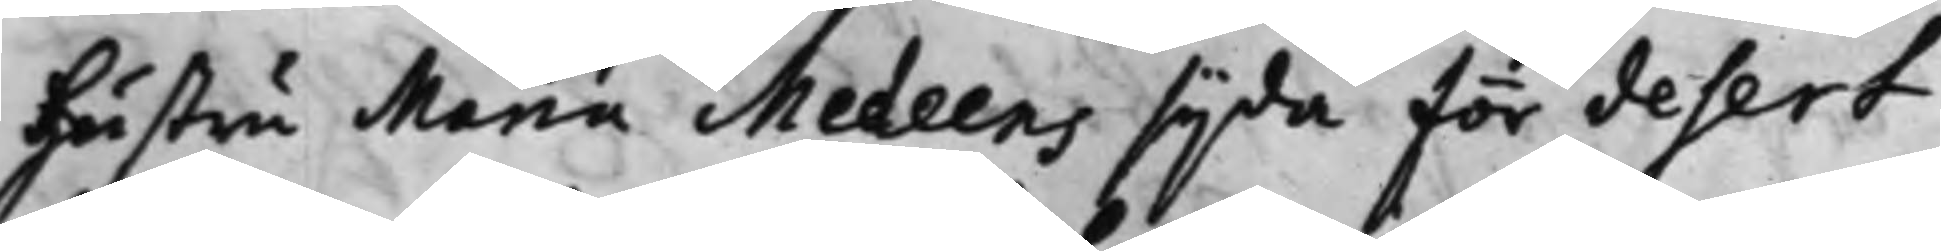Hustru Maria Medeens sijda för desert
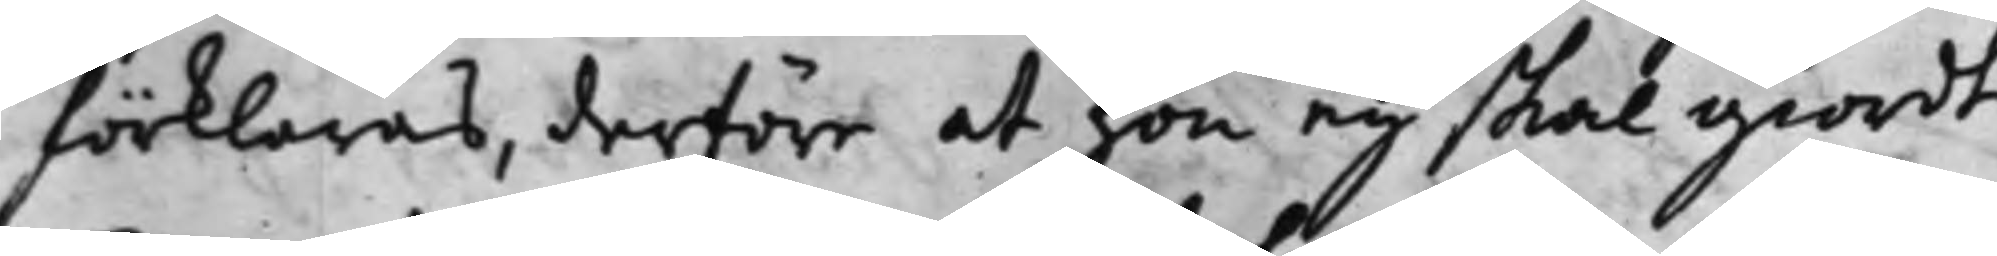förklaras, derföre at hon ey skal giordt
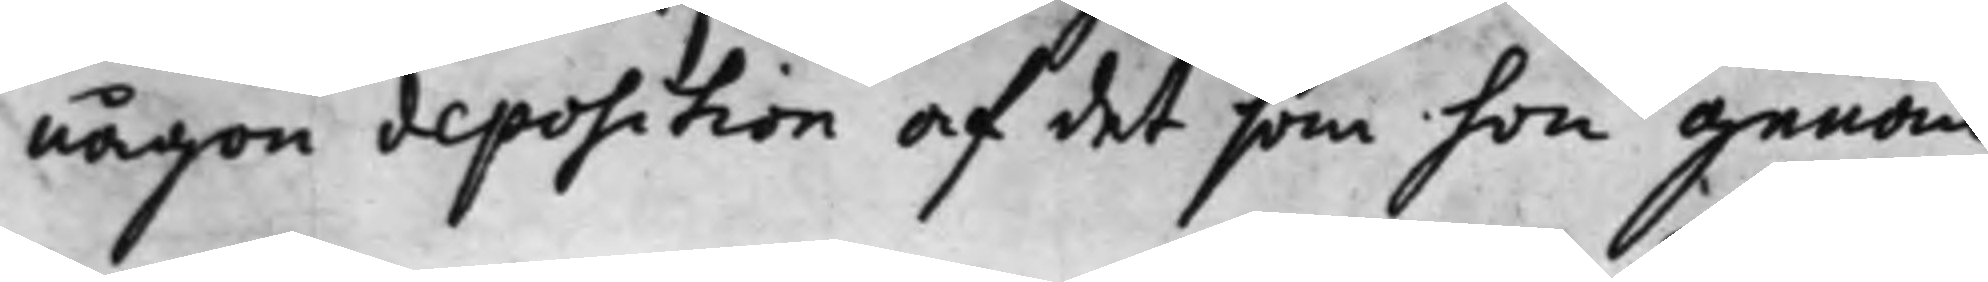någon deposition af det som hon genom
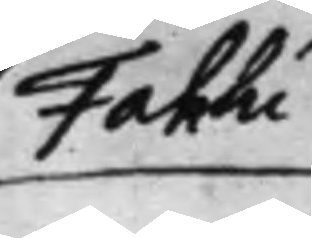Fahlu
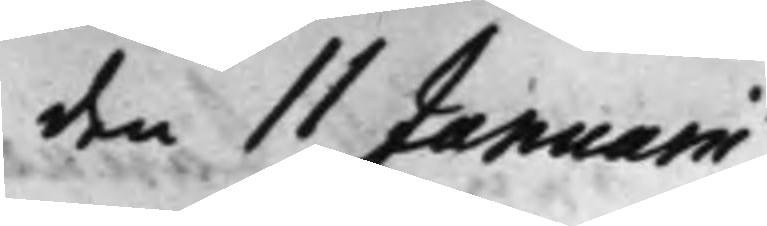den 11 Januarii
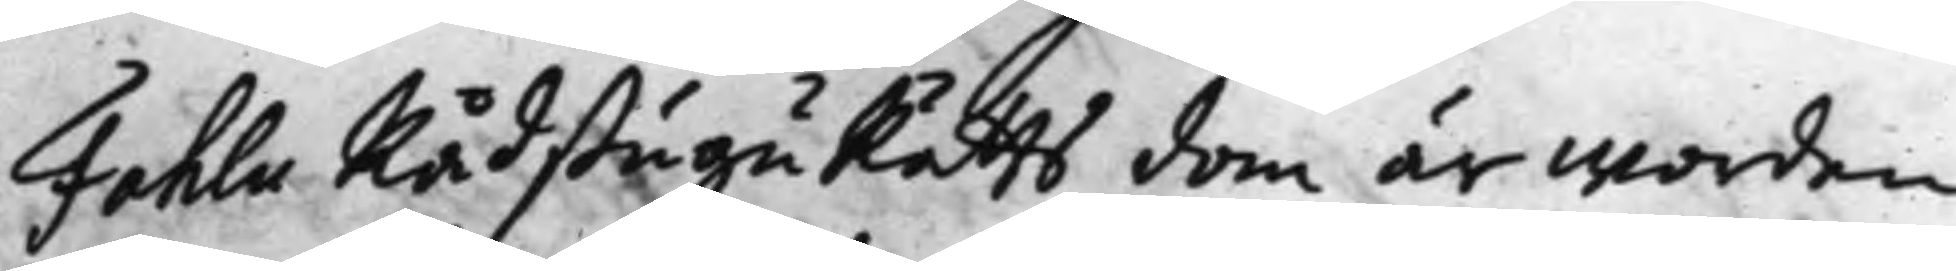Fahlu RådstuguRätts dom är worden
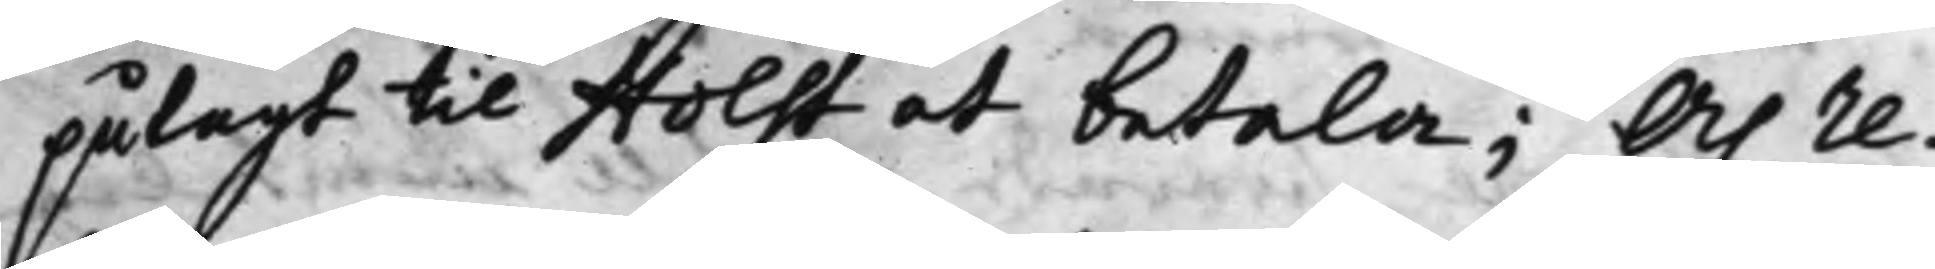pålagt til Holst at betala; Och re¬
